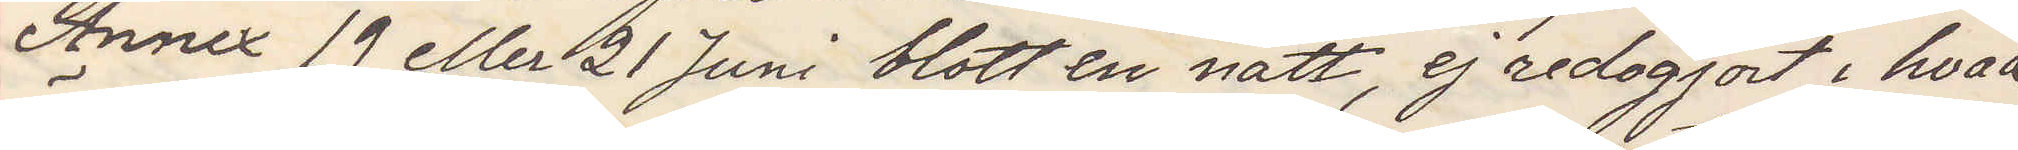Annex 19 eller 21 Juni blott en natt, ej redogjort hvad
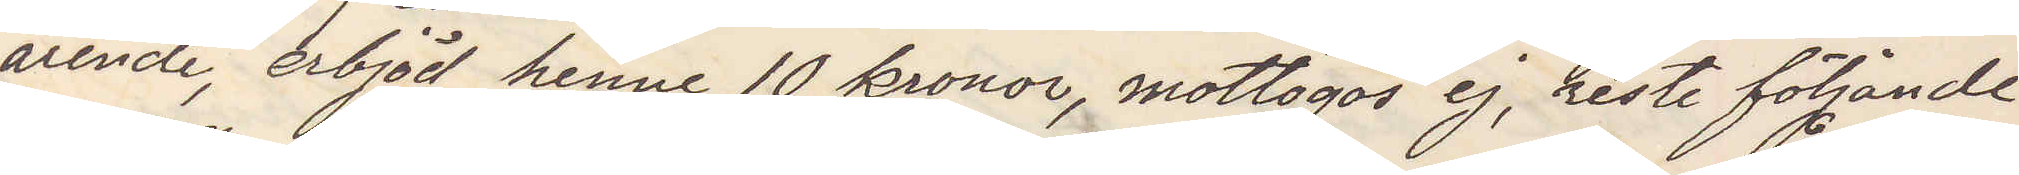ärende, erbjöd henne 10 kronor, mottogos ej, reste följande
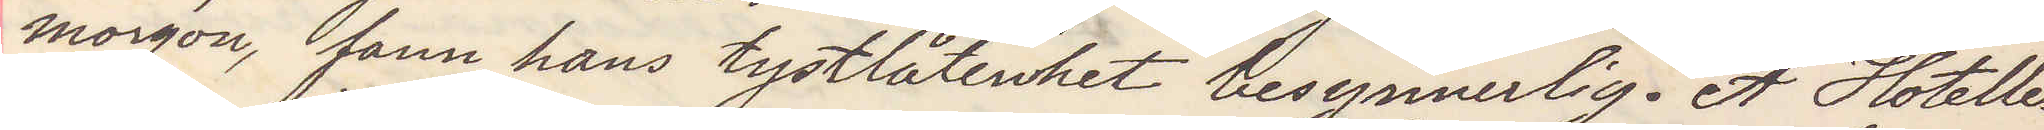morgon, fann hans tystlåtenhet besynnerlig. Å Hotellet
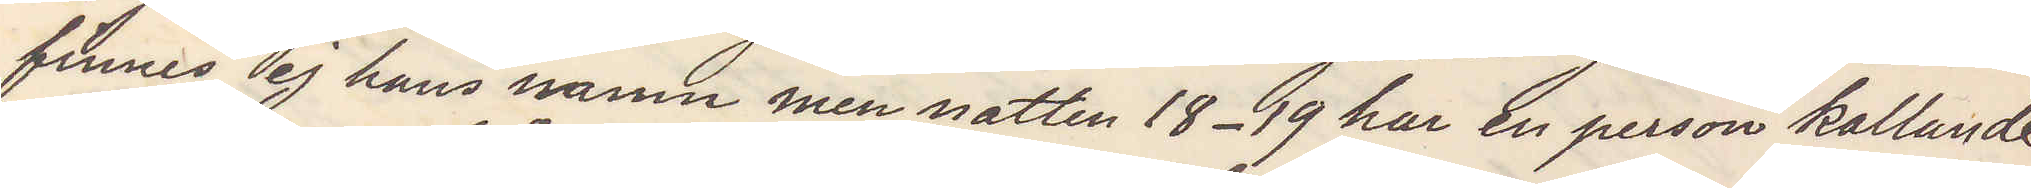finnes ej hans namn men natten 18-19 har en person kallande
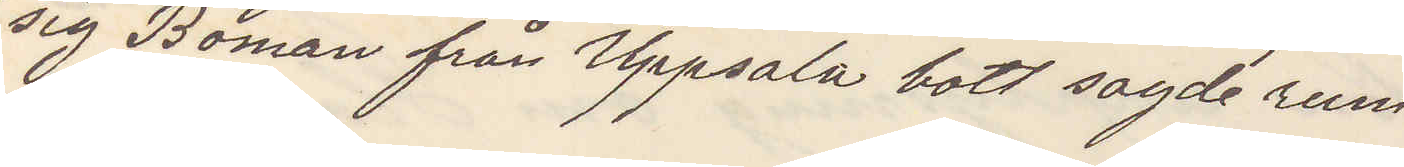sig Boman från Uppsala bott sagde rum.
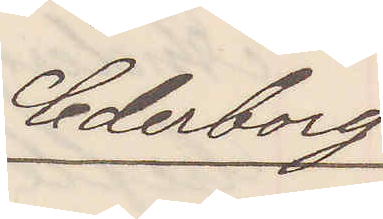Cederborg
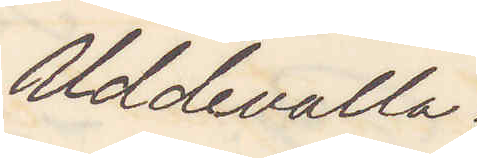Uddevalla.
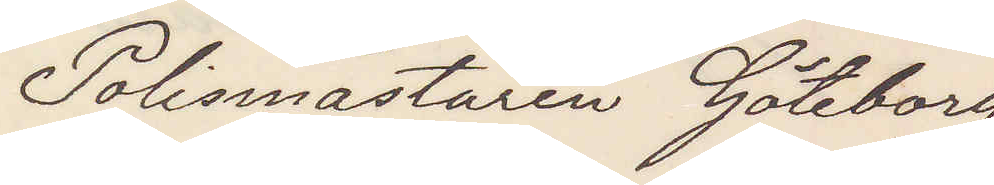Polismästaren Göteborg
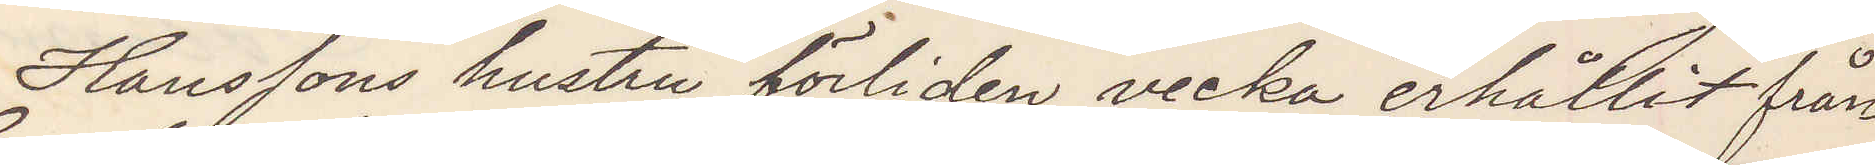Hanssons hustru förliden vecka erhållit från
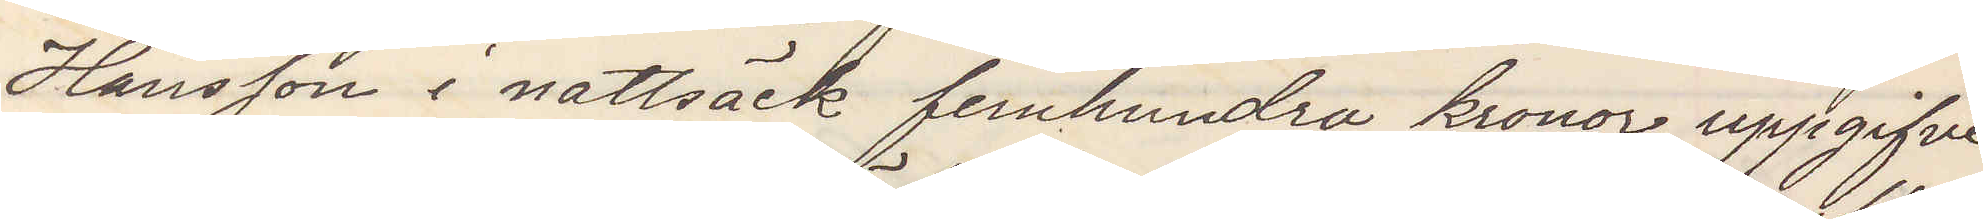Hansson i nattsäck femhundra kronor uppgifver
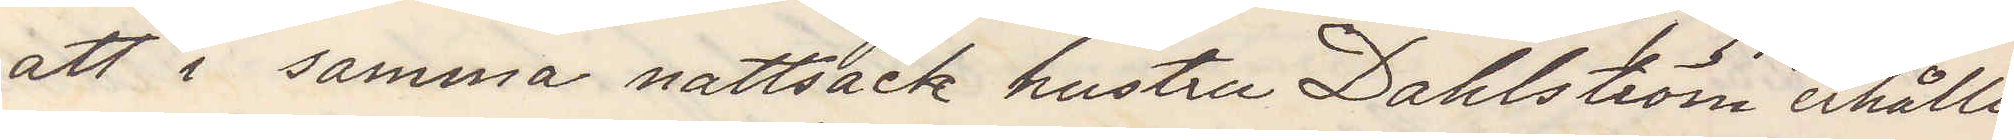att i samma nattsäck hustru Dahlström erhållit
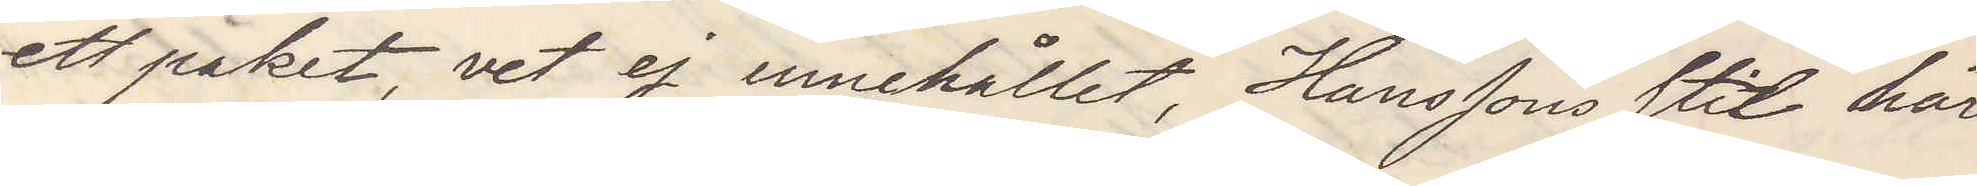ett paket, vet ej innehållet Hansson stil här
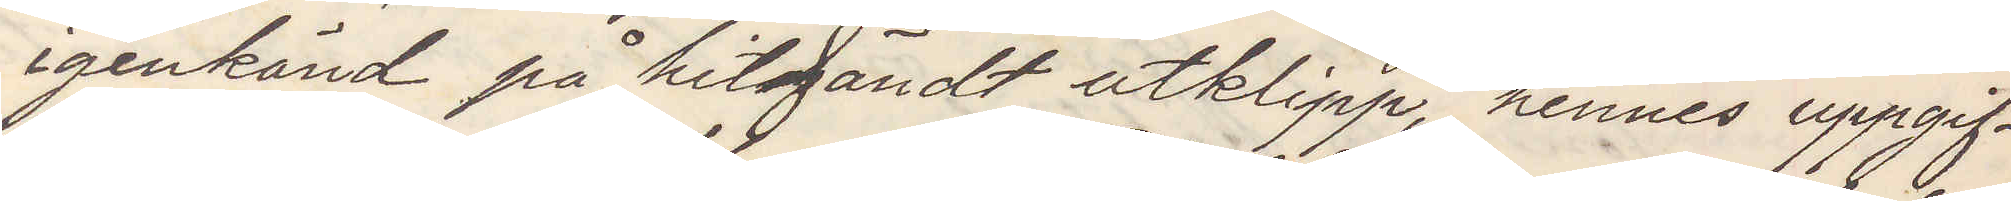igenkändt på hitsändt utklipp, hennes uppgif¬
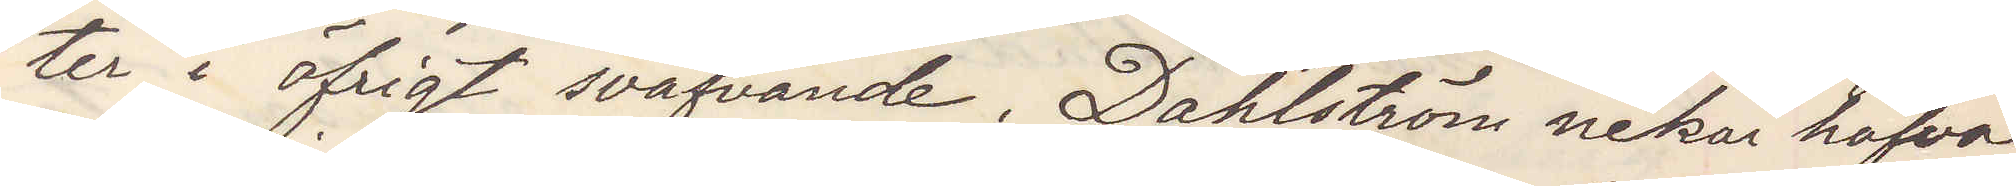ter i öfrigt sväfvande. Dahlström nekar hafva
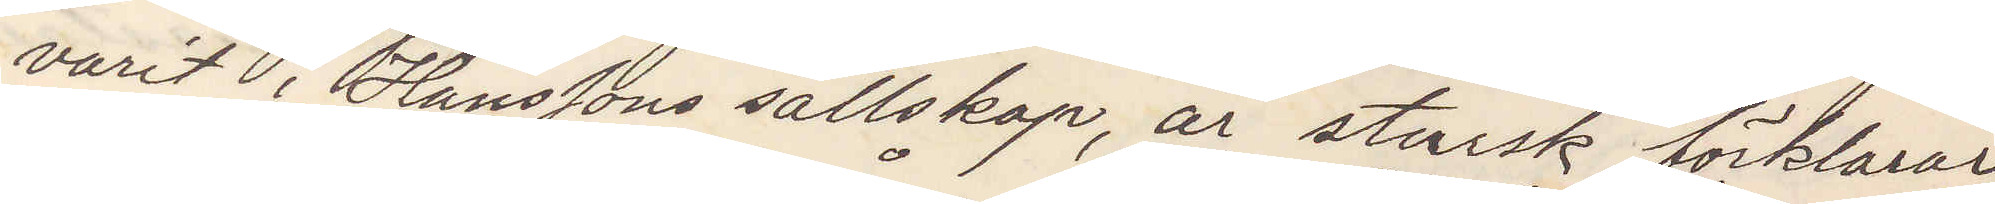varit i Hanssons sällskap, är stursk förklarar
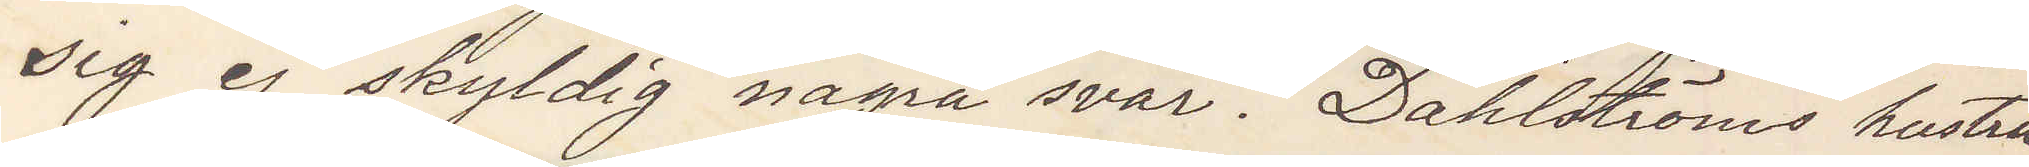sig skyldig några svar. Dahlströms hustru
